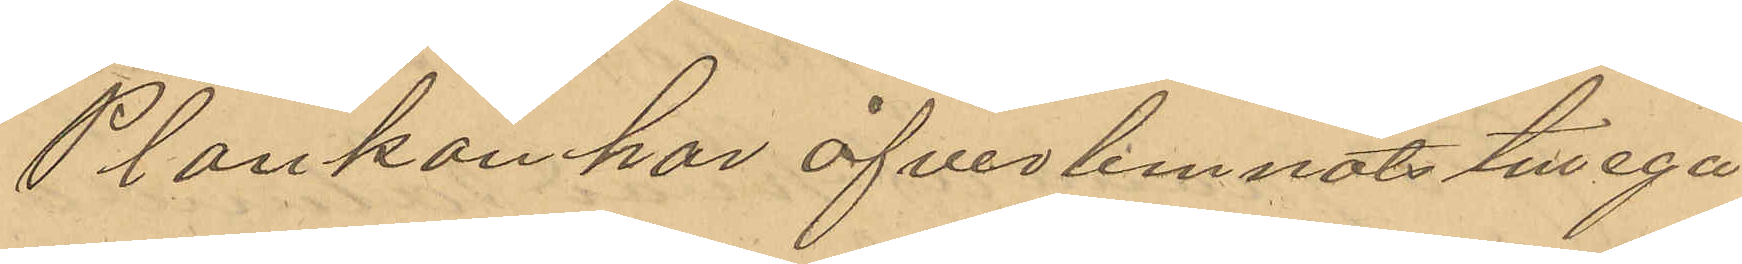Plankan har öfverlemnats till ega¬
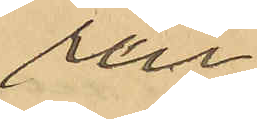en
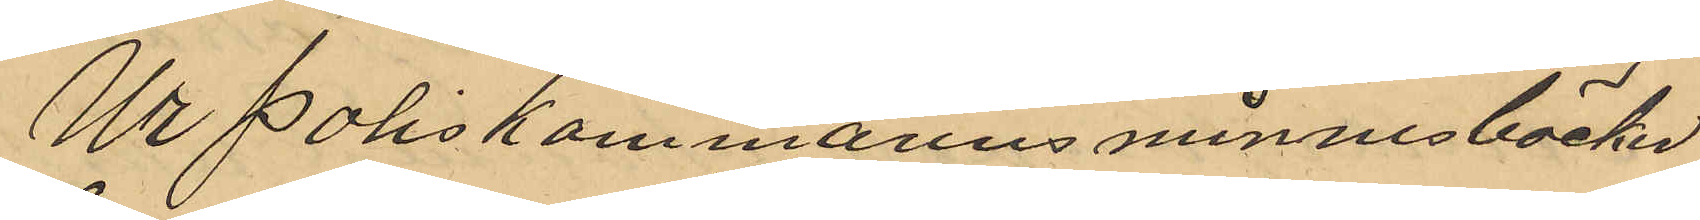Ur Poliskammarens minnesböcker
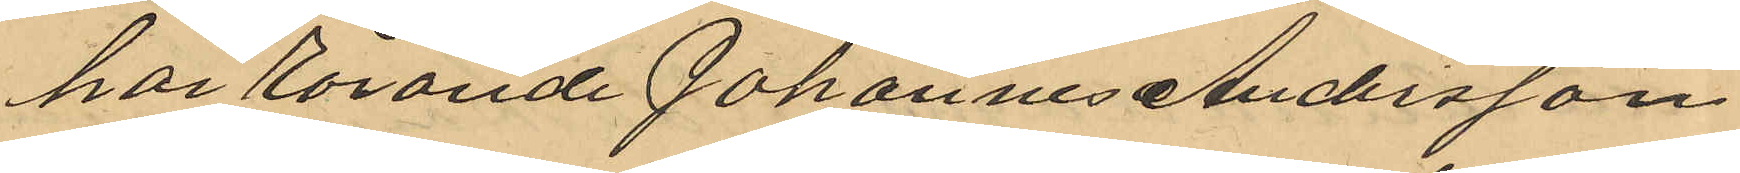har rörande Johannes Andersson
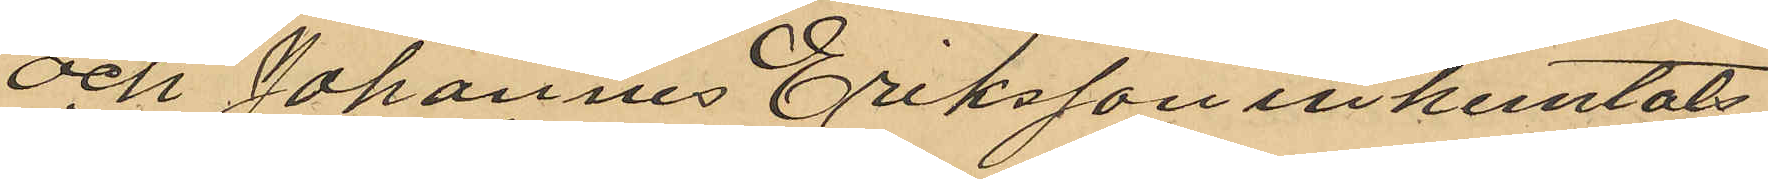och Johannes Eriksson inhemtats
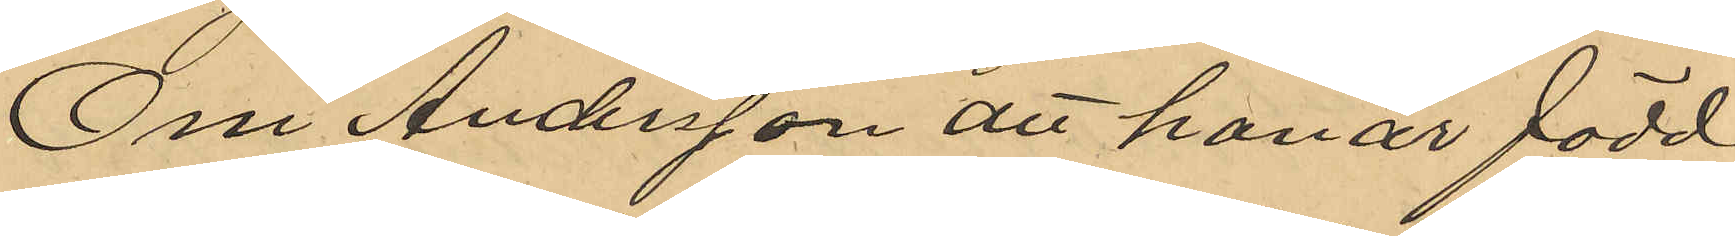Om Andersson att han är född
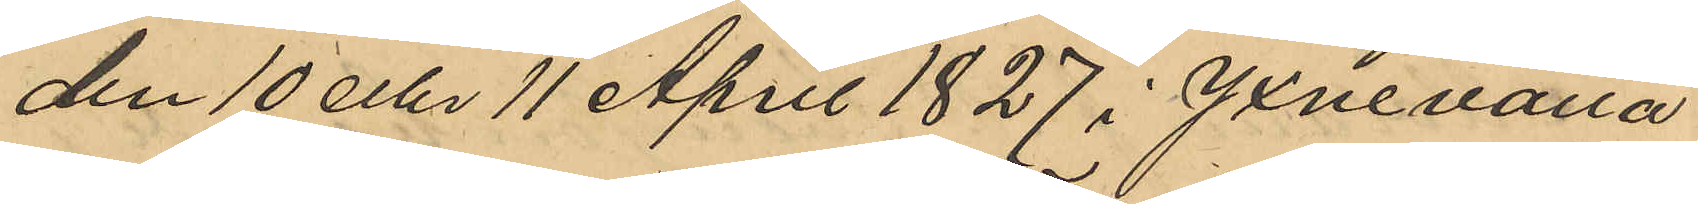den 10 eller 11 April 1827 i Yxnevalla
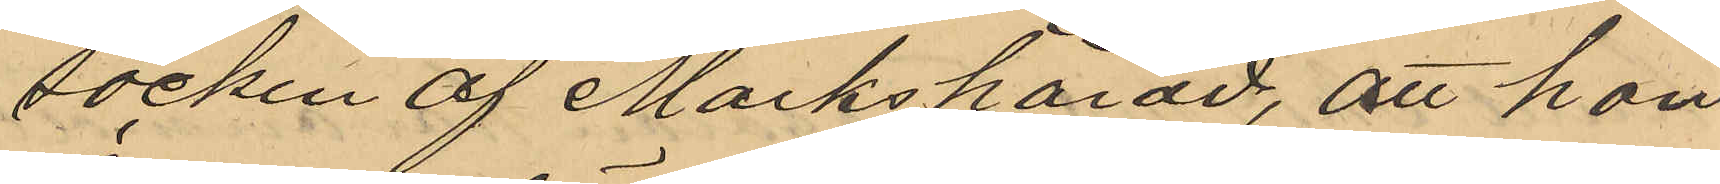socken af Marks härad, att han
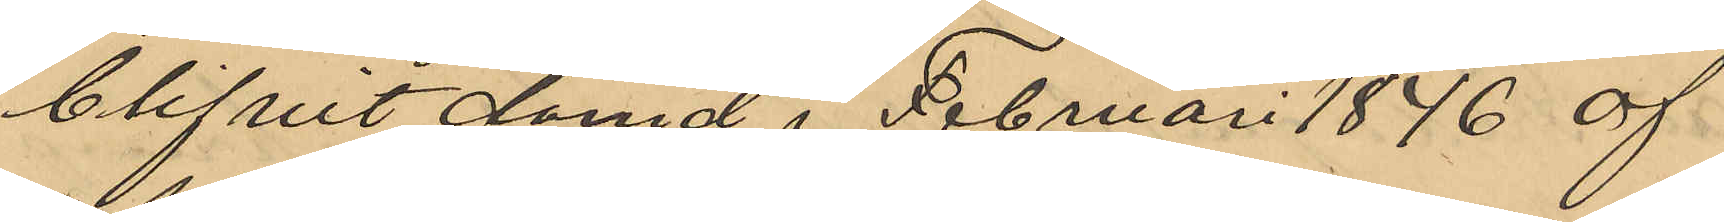blifvit dömd i Februari 1846 af
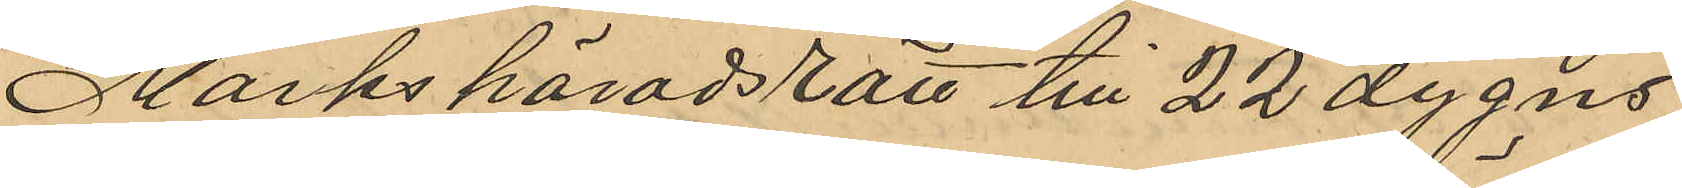Marks häradsrätt till 22 dygns
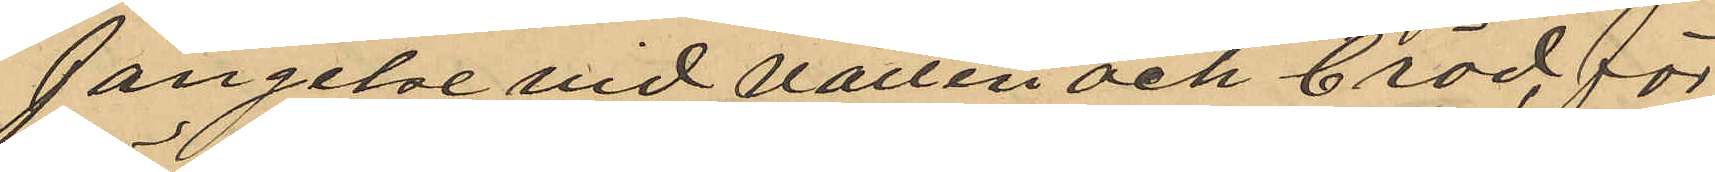fängelse vid vatten och bröd för
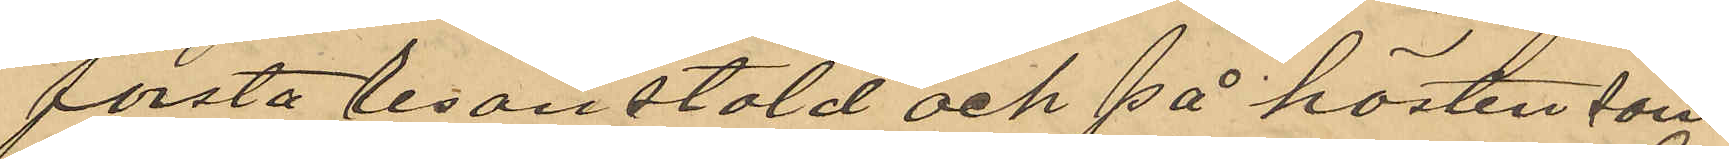första resan stöld och på hösten sam-
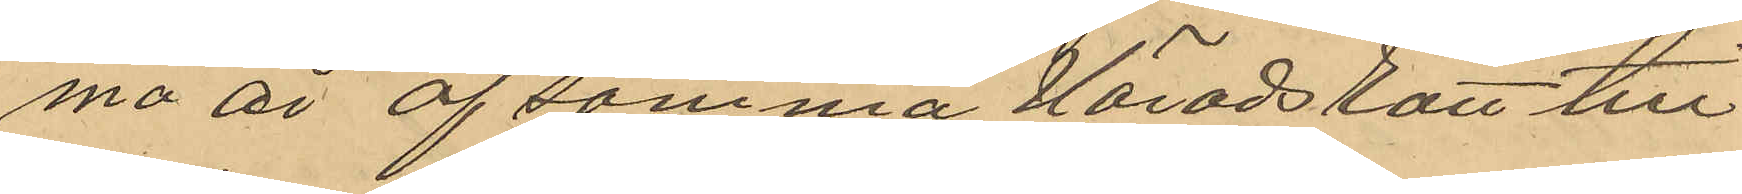ma år af samma Häradsrätt till
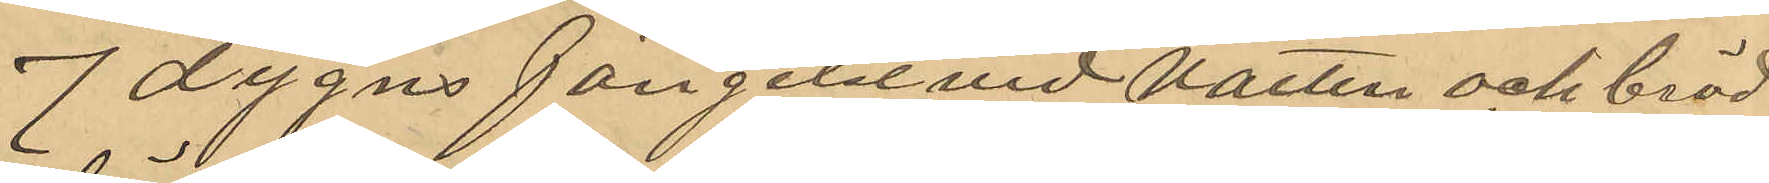7 dygns fängelse vid vatten och bröd
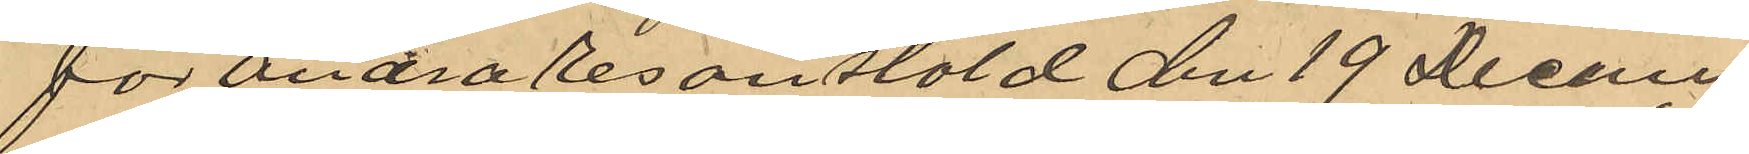för andra resan stöld den 19 Decem¬
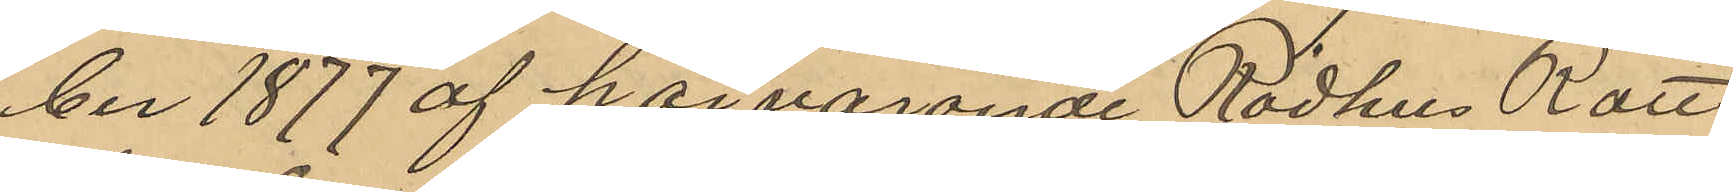ber 1877 af härvarande Rådhus Rätt
